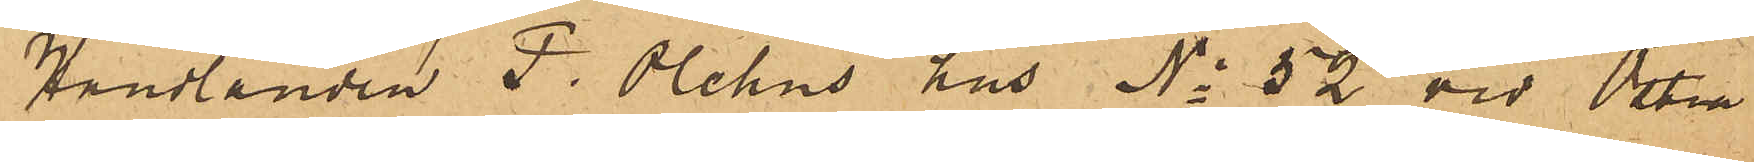Handlanden P. Olehns hus No 52 vid Östra
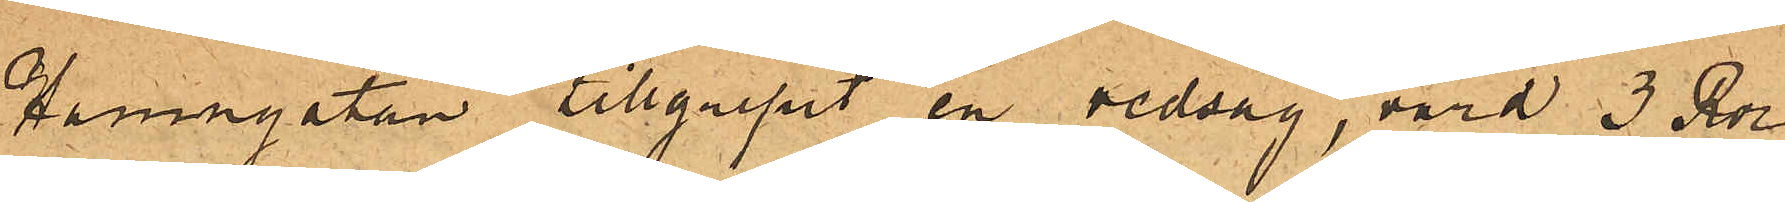Hamngatan tillgripit en vedsåg, värd 3 Rdr
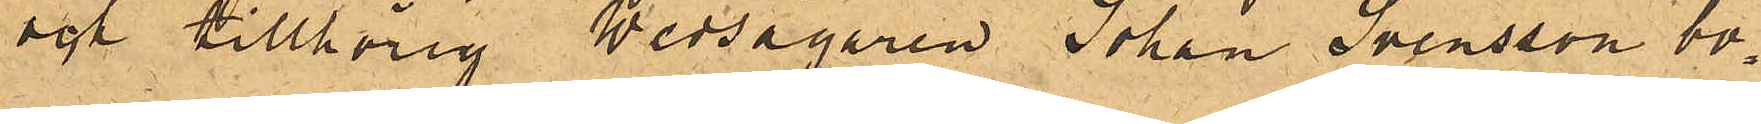och tillhörig Wedsågaren Johan Svensson bo¬
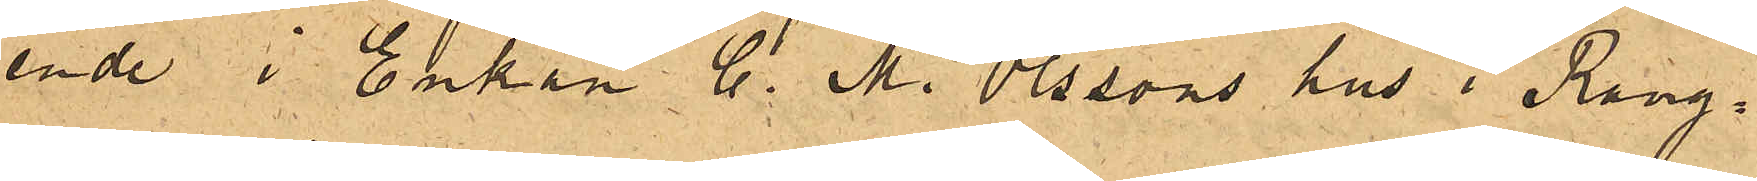ende i Enkan C. M. Olssons hus i Rang¬
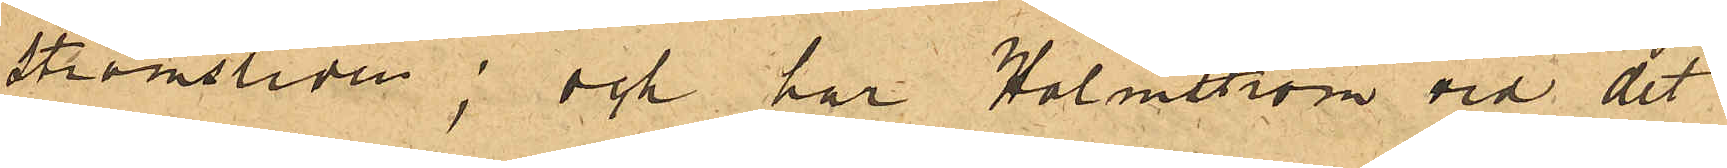strömsliden; och har Holmström vid det
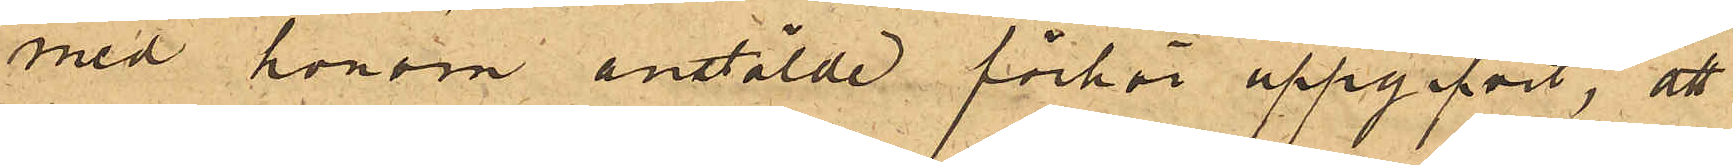med honom anstälde förhör uppgifvit, att
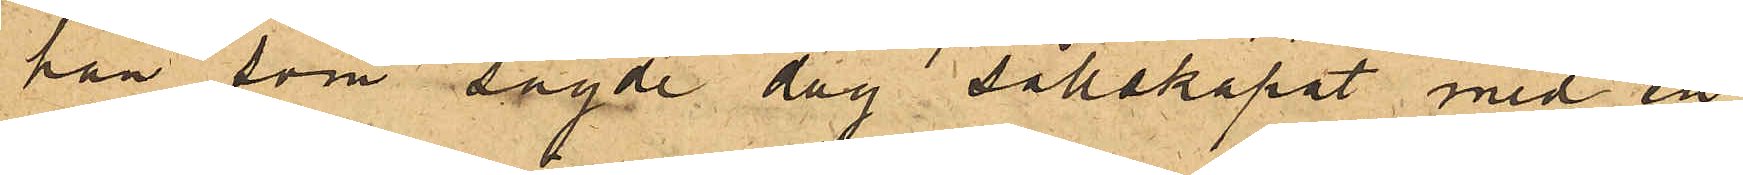han som sagde dag sällskapat med en
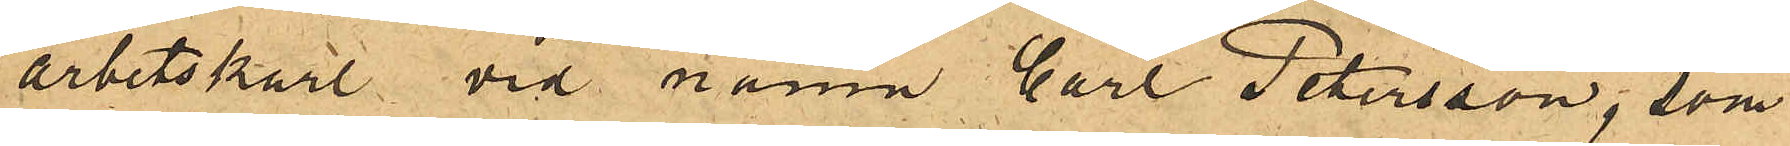arbetskarl vid namn Carl Petersson, som
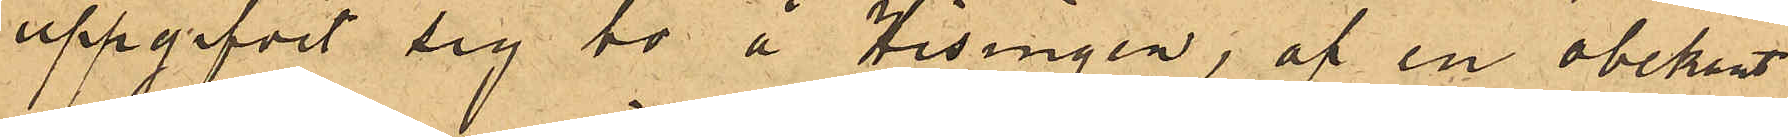uppgifvit sig bo å Hisingen, af en obekant
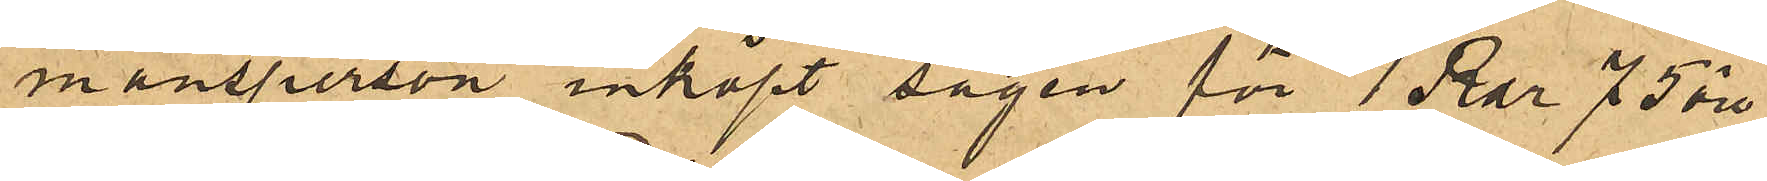mansperson inköpt sågen för 1 Rdr 75 öre,
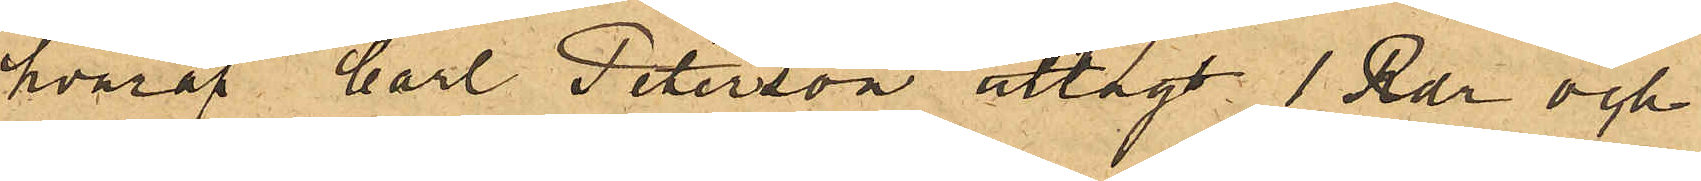hvaraf Carl Peterson utlagt 1 Rdr och
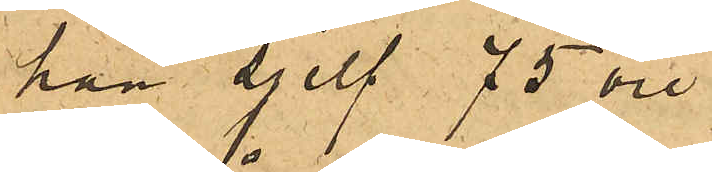han sjelf 75 öre.
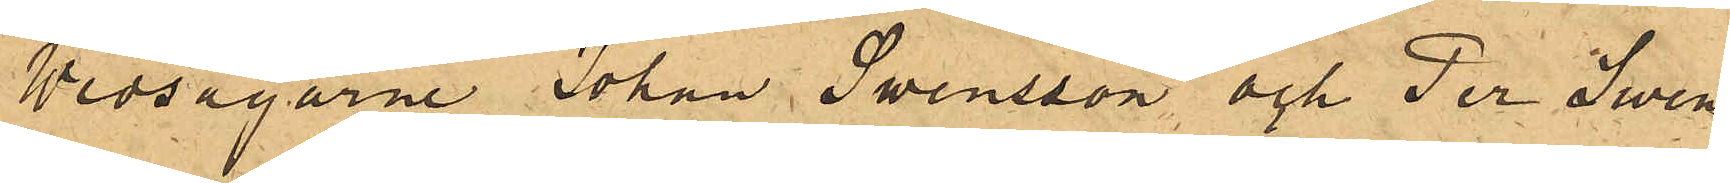Wedsågarne Johan Swensson och Per Swen¬
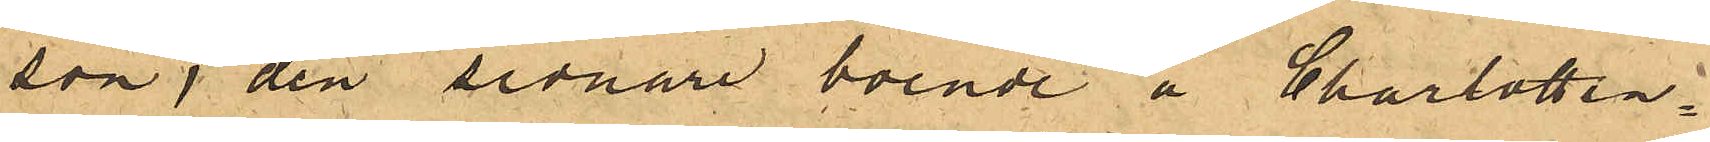son, den sednare boende å Charlotten¬
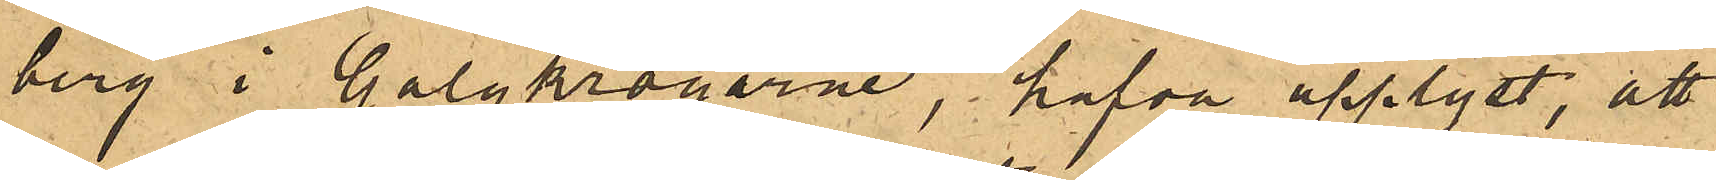berg i Galgkrogarne, hafva upplyst, att
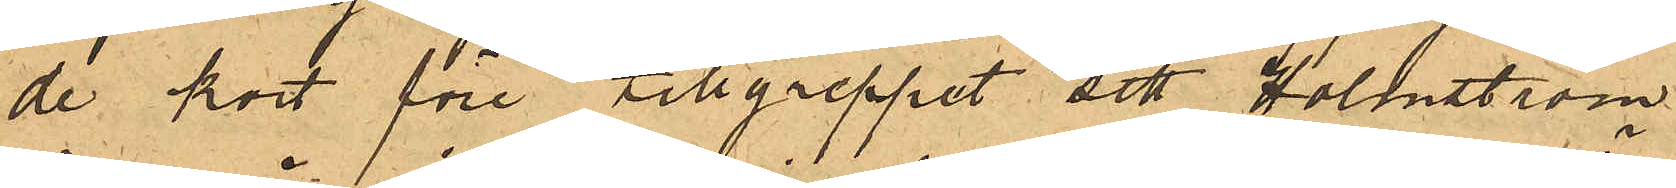de kort före tillgreppet sett Holmström
